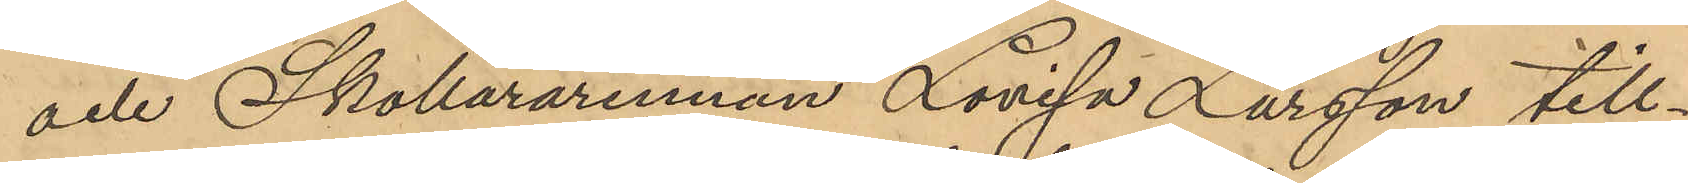och Skollärarinnan Lovisa Larsson till¬
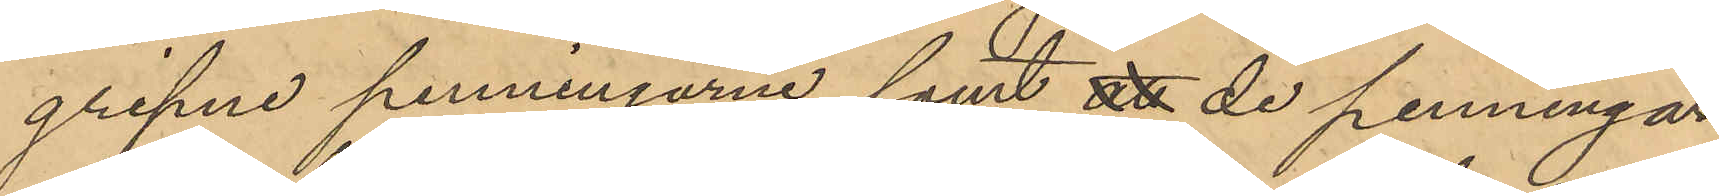gripne penningarne samt att de penningar
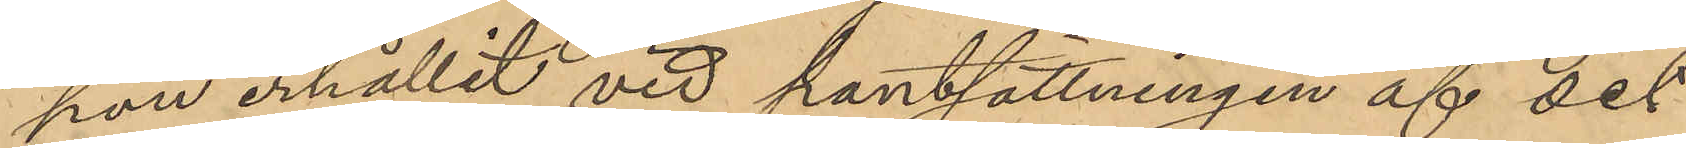han erhållit vid pantsättningen af det
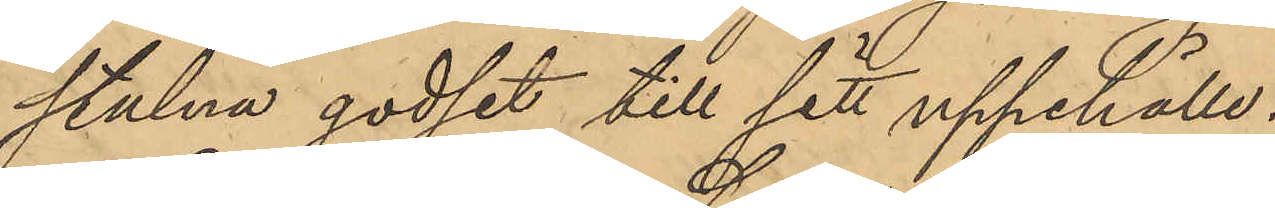stulna godset till sitt uppehälle.
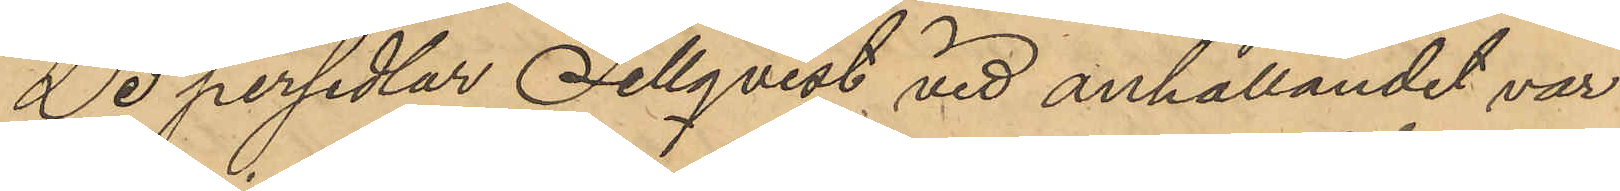De persedlar Sellqvist vid anhållandet var
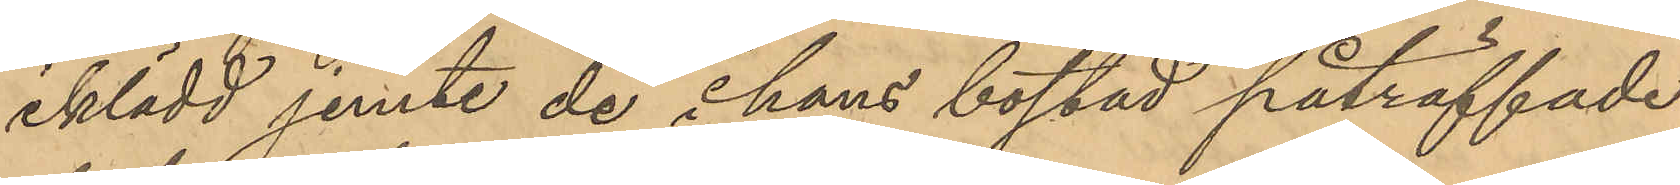iklädd jemte de å hans bostad påträffade
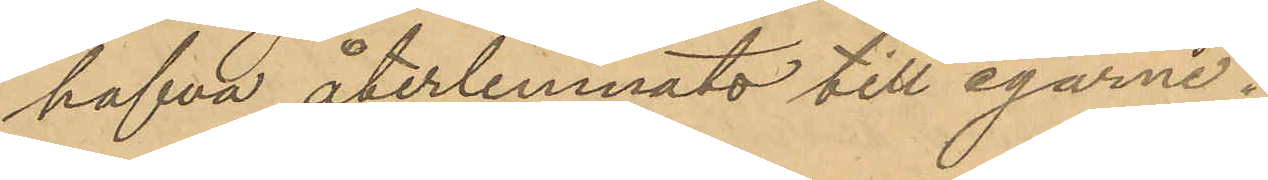hafva återlemnats till egarne.
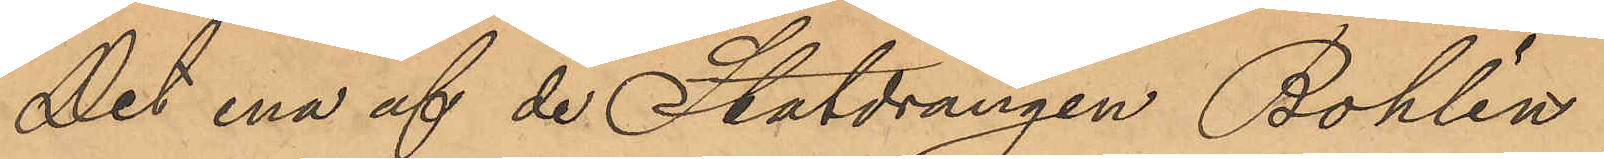Det ena af de Statdrängen Bohlin
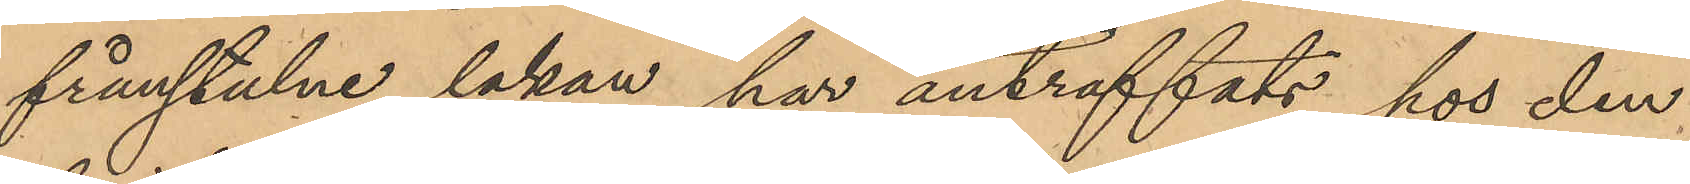frånstulne lakan har anträffats hos den 
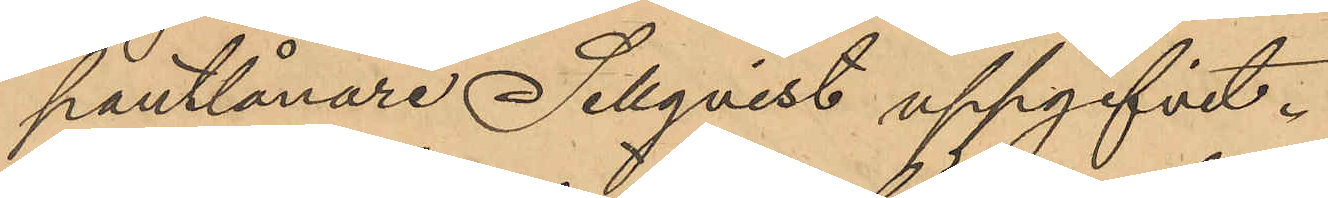pantlånare Sellqvist uppgifvit.
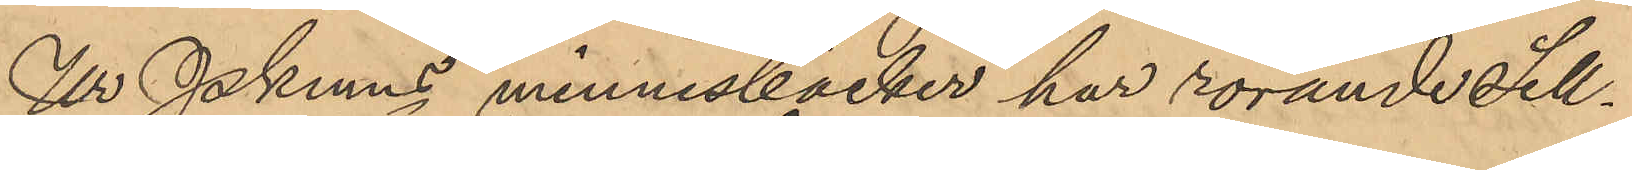Ur Pkmns minnesböcker har rörande Sell¬
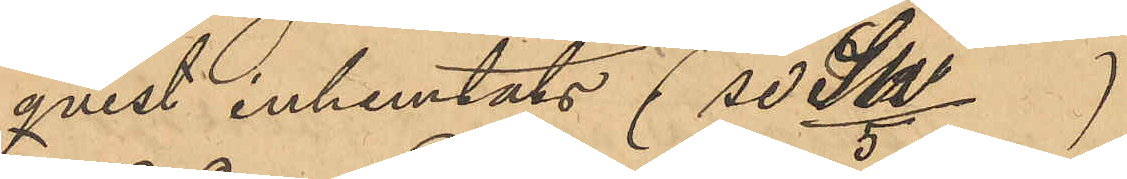qvist inhemtats (se SW/5)
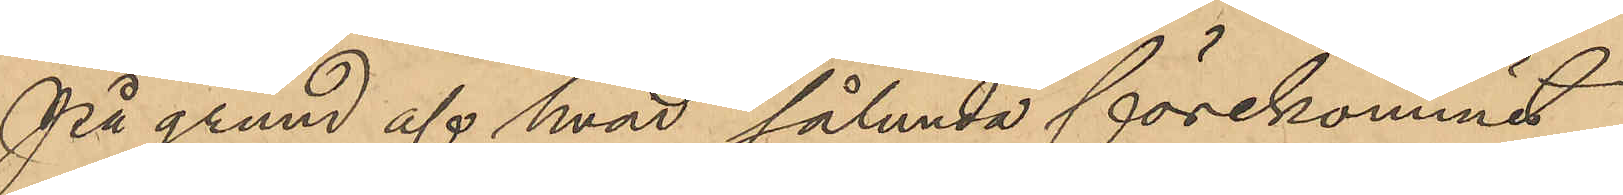På grund af hvad sålunda förekommit
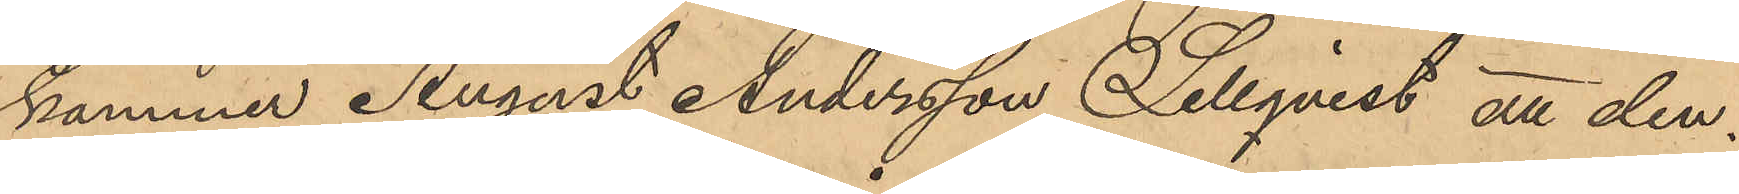kommer August Andersson Sellqvist, att den¬
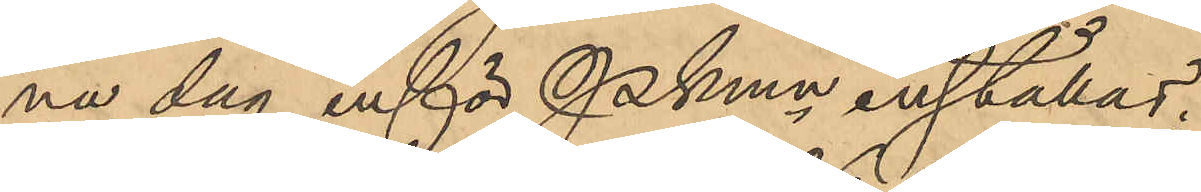na dag inför Pkmn inställas.
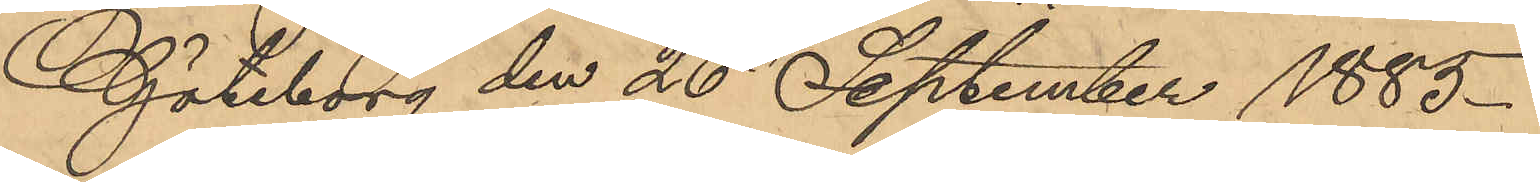Göteborg den 26 September 1885.
